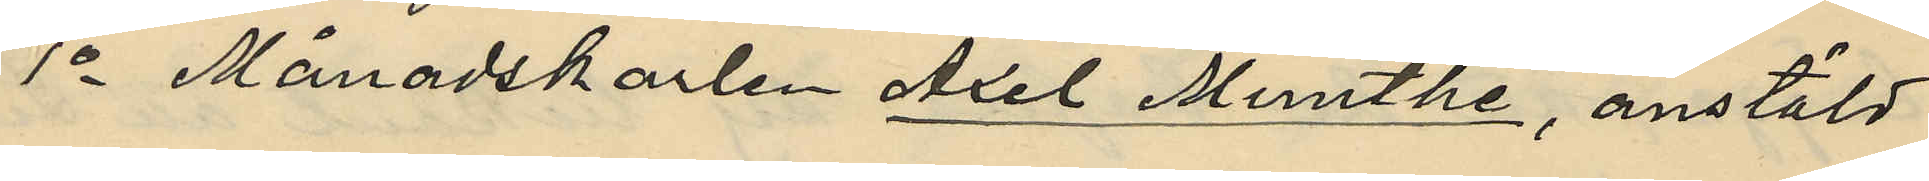1o Månadskarlen Axel Munthe, anstäld
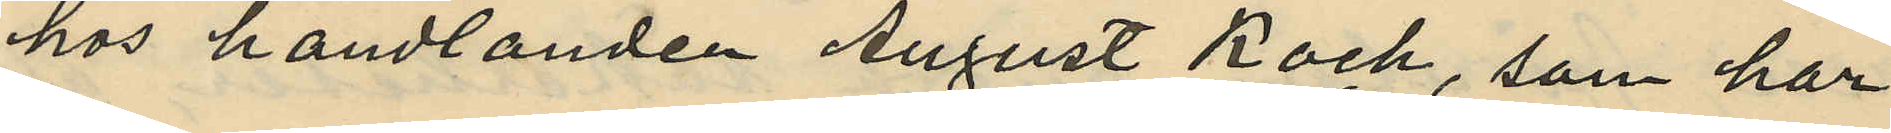hos handlanden August Kock, som har
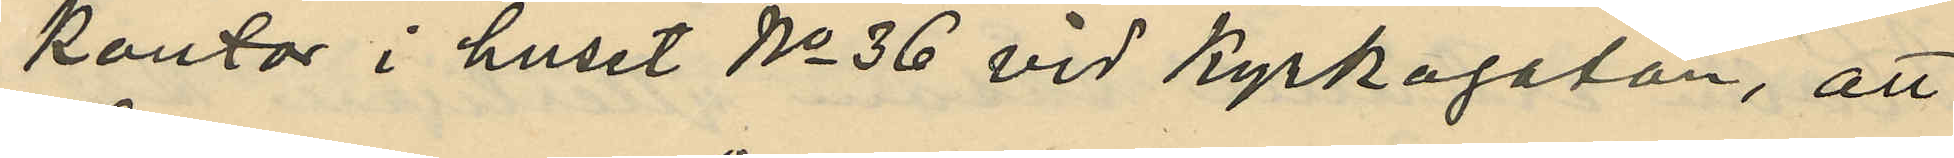kontor i huset No 36 vid Kyrkogatan, att
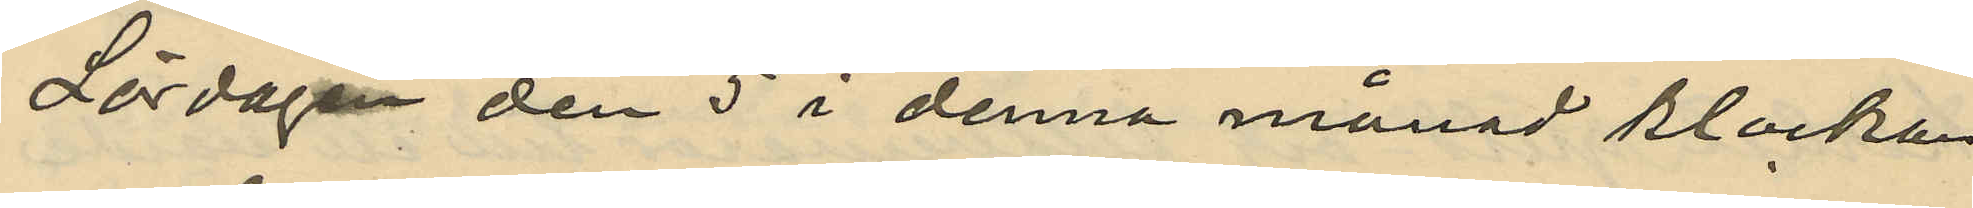Lördagen den 5 i denna månad klockan
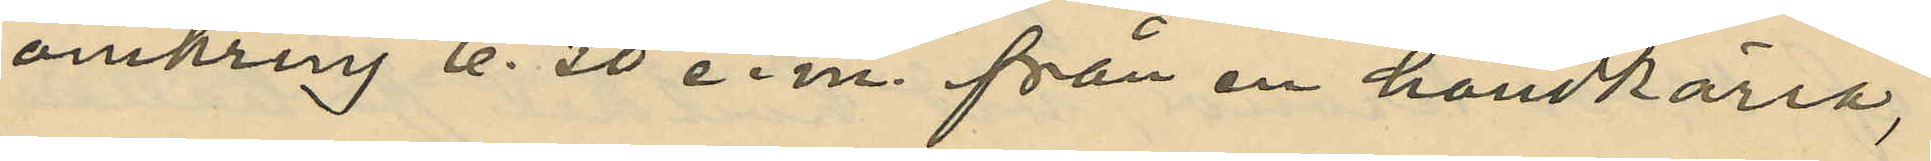omkring 6.30 e.m. från en handkärra,
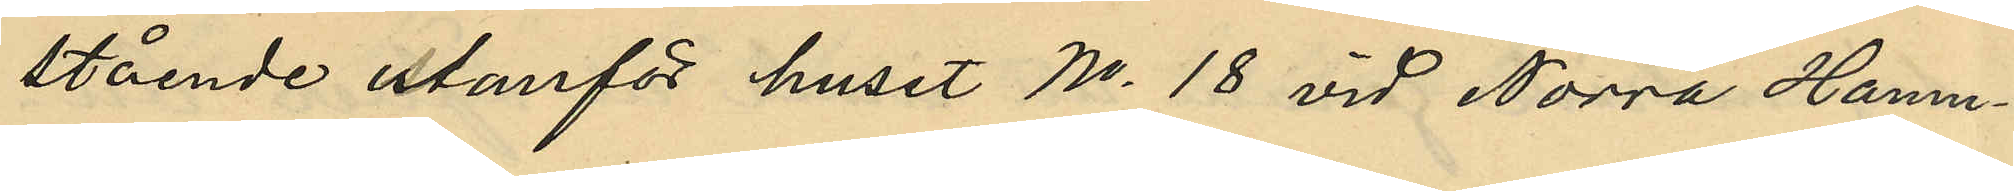stående utanför huset No 18 vid Norra Hamn¬
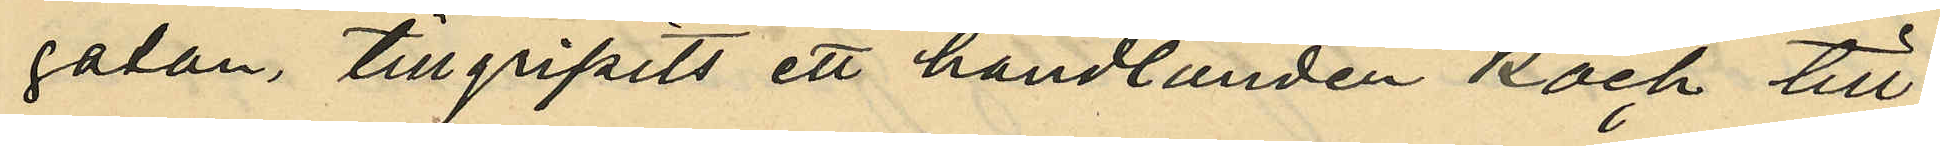gatan, tillgripits ett handlanden Kock till¬
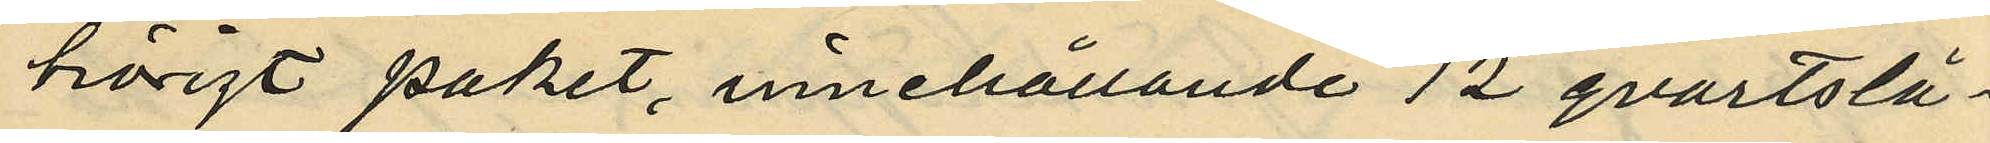hörigt paket, innehållande 12 qvartslå¬
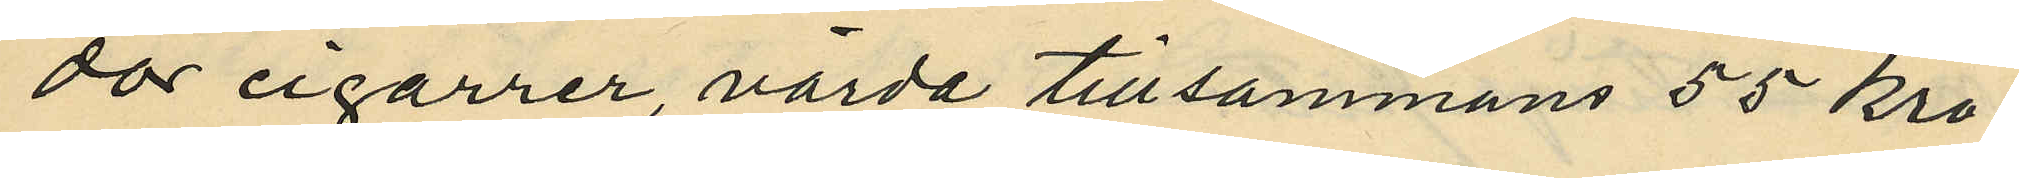dor cigarrer, värda tillsammans 55 kro¬
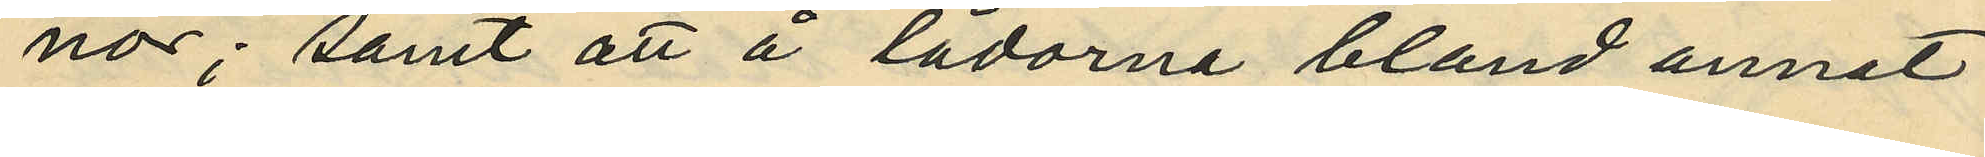nor; samt att å lådorna bland annat
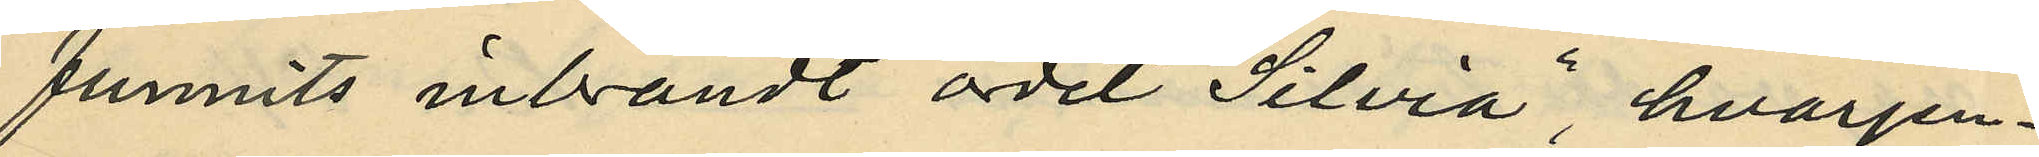funnits inbrändt ordet  "Silvia", hvarjem¬
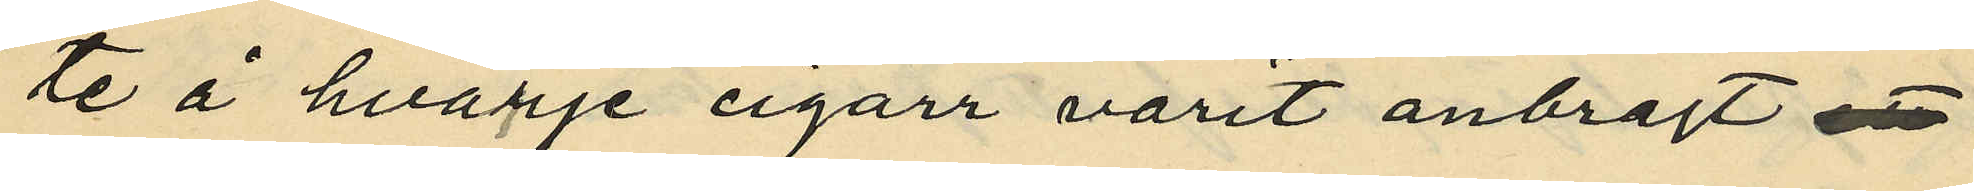te å hvarje cigarr varit anbragt
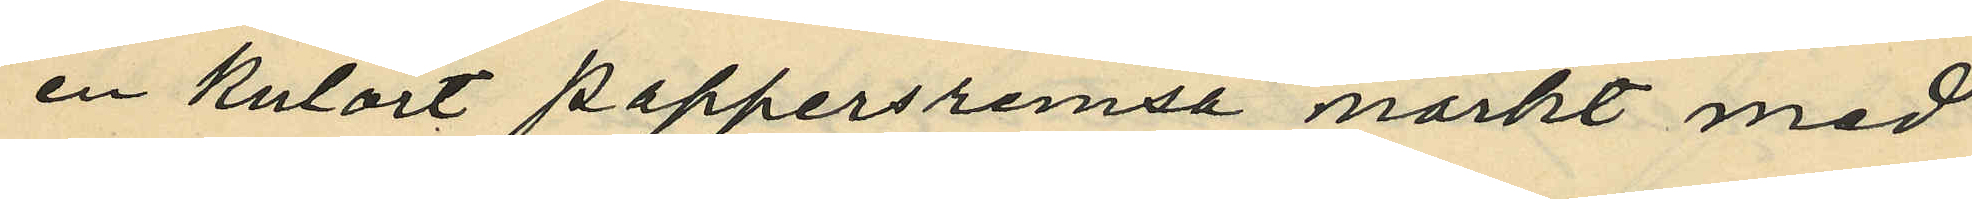en kulört pappersremsa märkt med
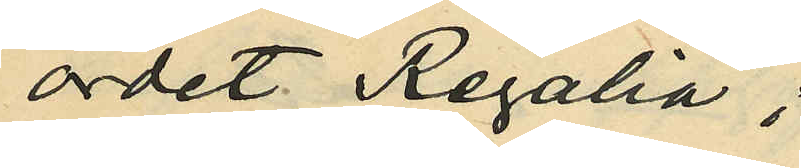ordet Regalia;
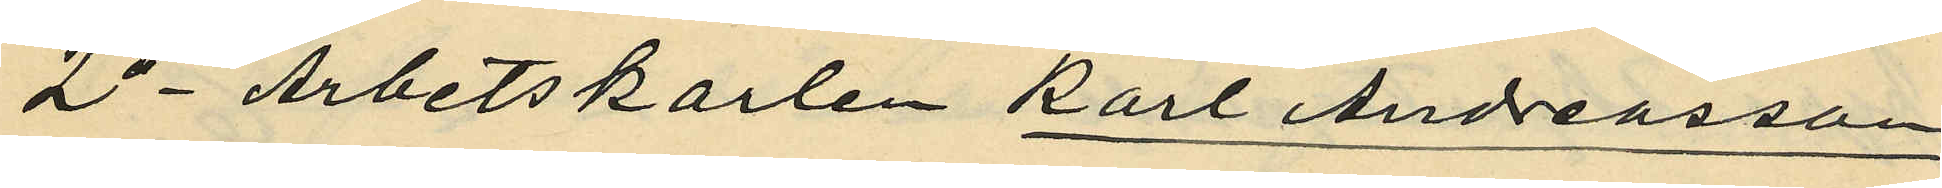2o - Arbetskarlen Karl Andreasson,
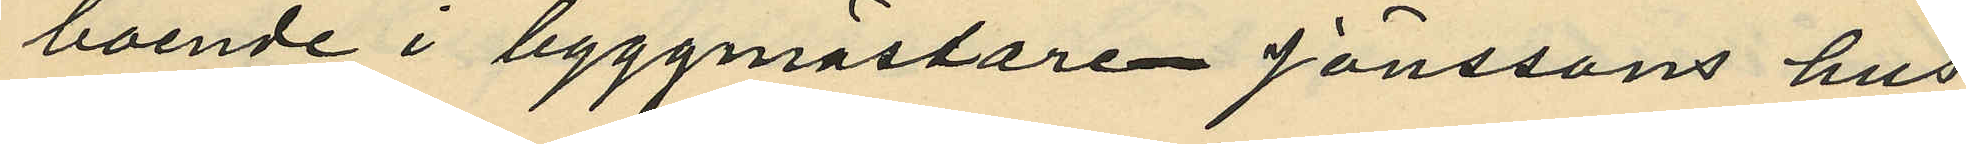boende i byggmästaren Jönssons hus
